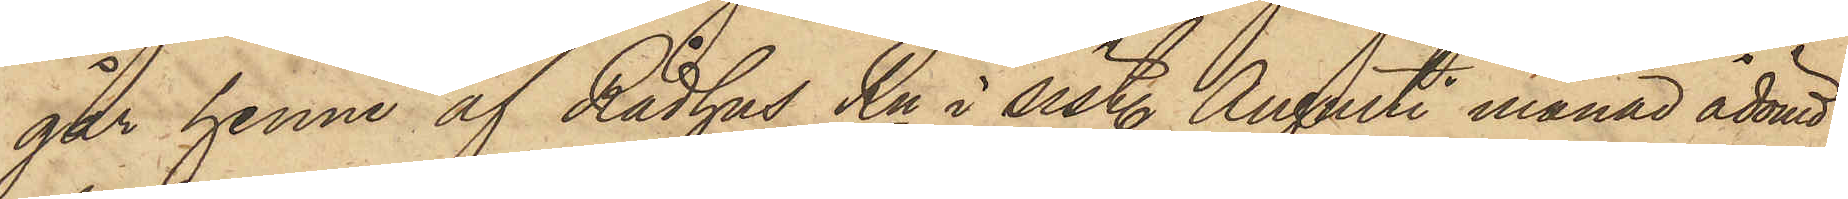går henne af Rådhus Rn i sist. Augusti månad ådömd
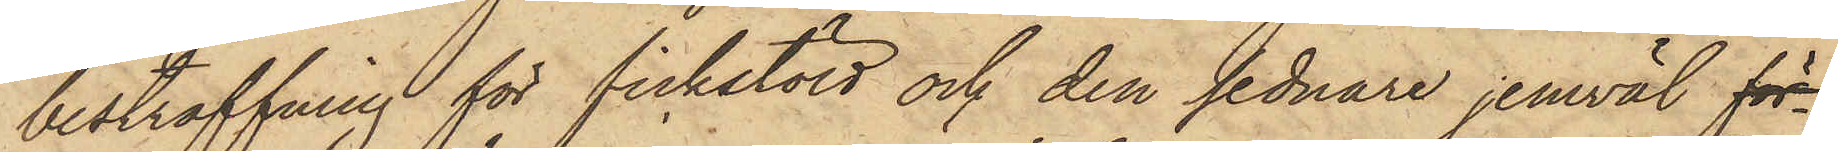bestraffning för fickstöld och den sednare jemväl för¬
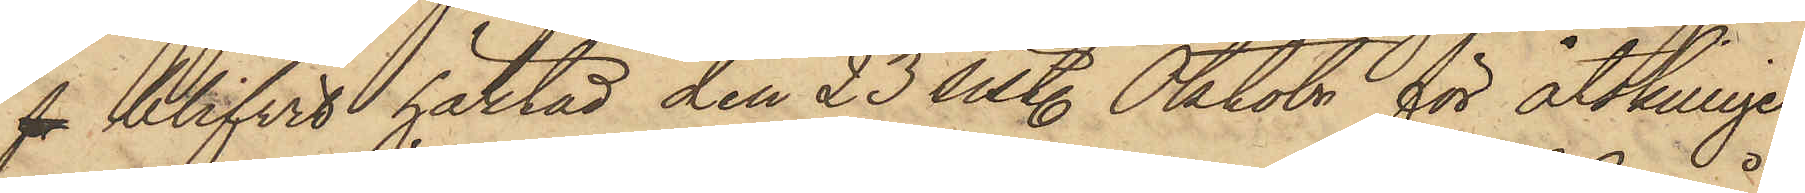f blifvit häktad den 23 sist. Oktobr för åtskillige
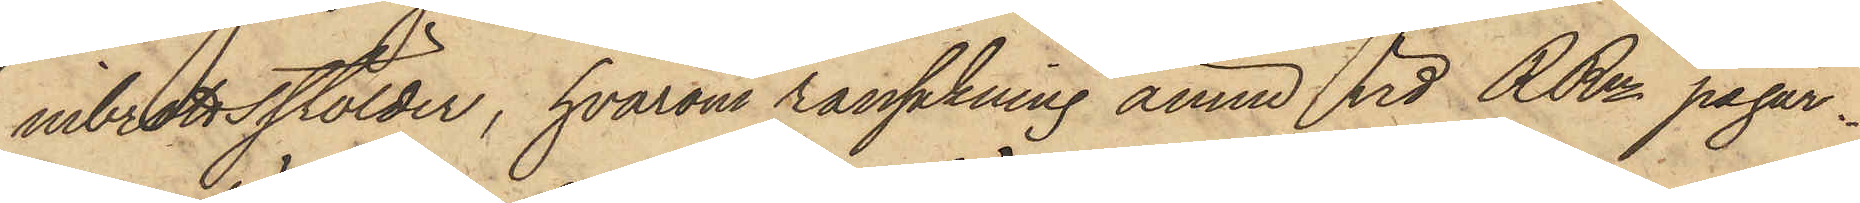inbrottsstölder, hvarom ransakning ännu vid RRn pågår.
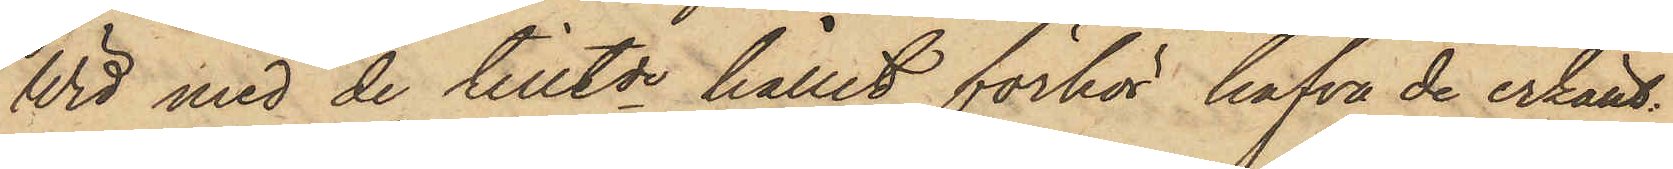Wid med de tilltde hållit förhör hafva de erkänt:
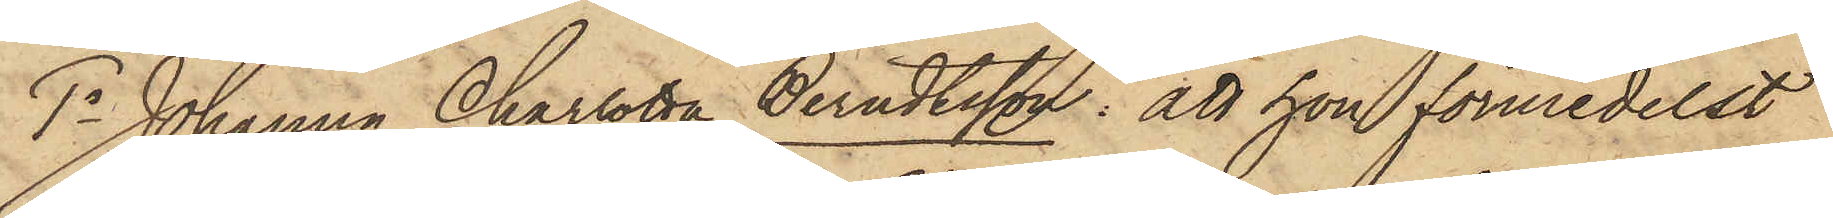1o Johanna Charlotta Berndtsson: att hon förmedelst
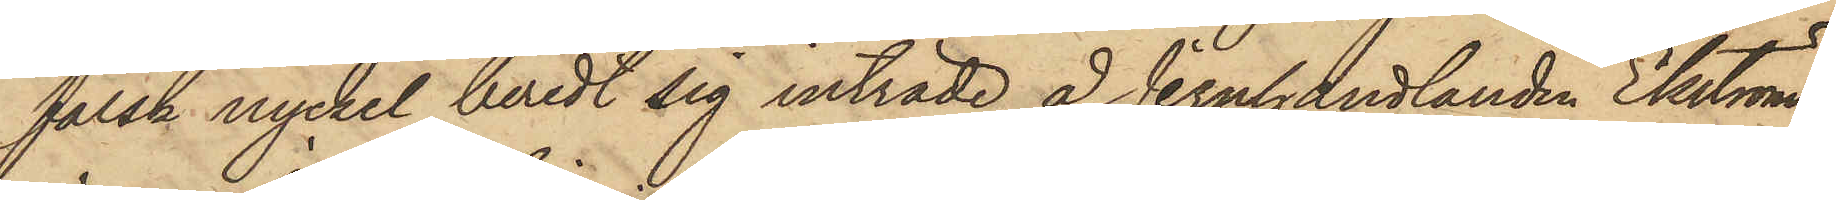falsk nyckel beredt sig inträde å Jernhandlanden Ekströms
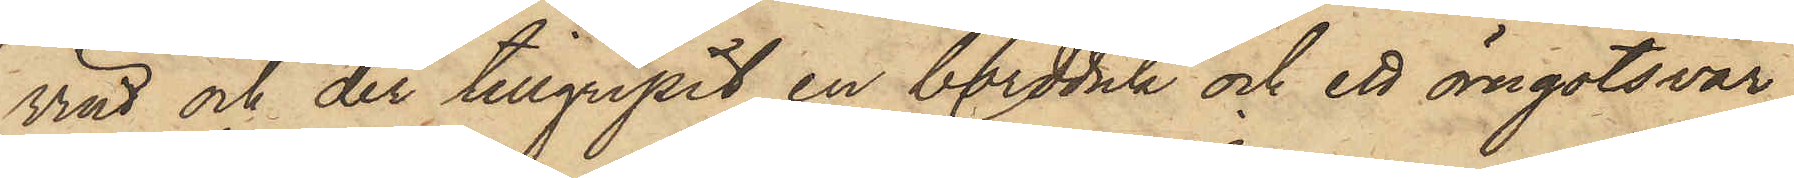vind och der tillgripit en bordduk och ett örngotsvar,
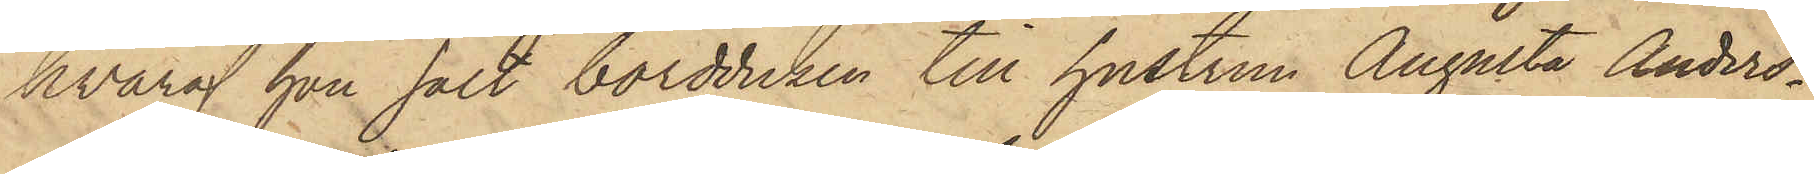hvaraf hon sålt bordduken till hustrun Augusta Anders¬
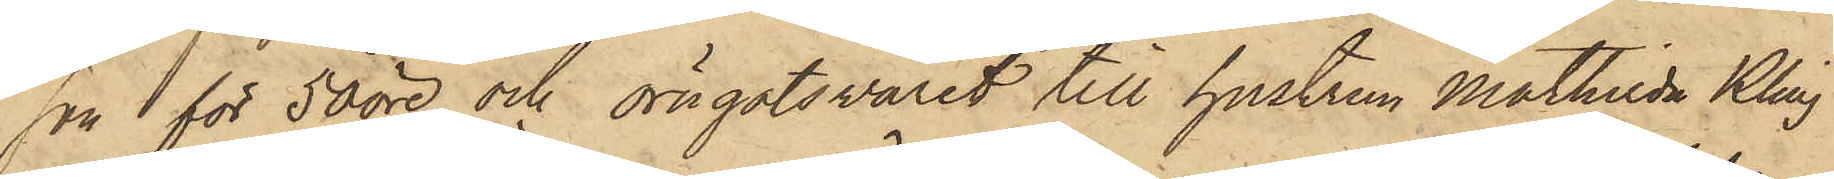son för 50 öre och örngotsvaret till hustrun Mathilda Kling
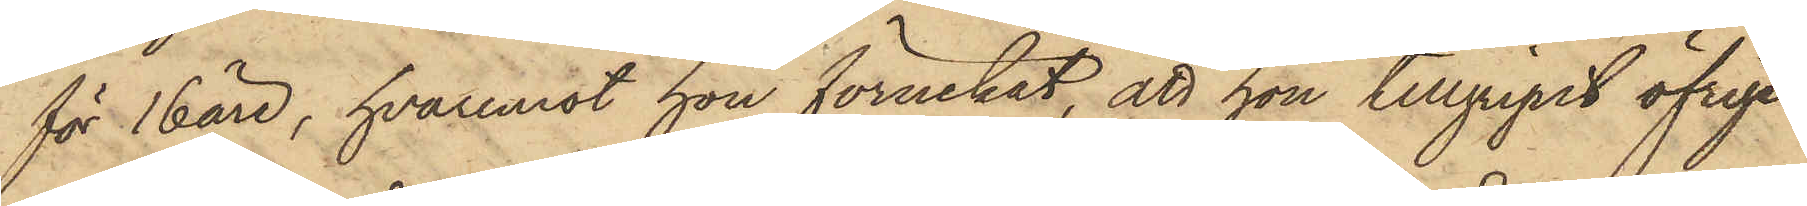för 16 öre, hvaremot hon förnekat, att hon tillgripit öfrige
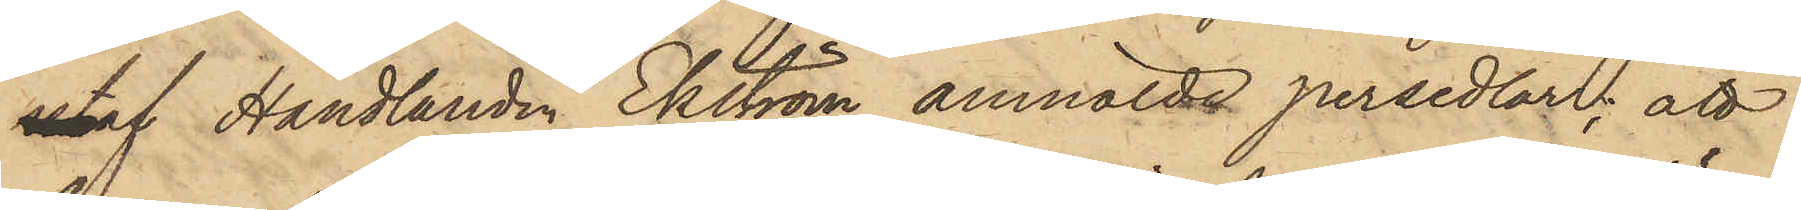utaf Handlanden Ekström anmälde persedlar; att
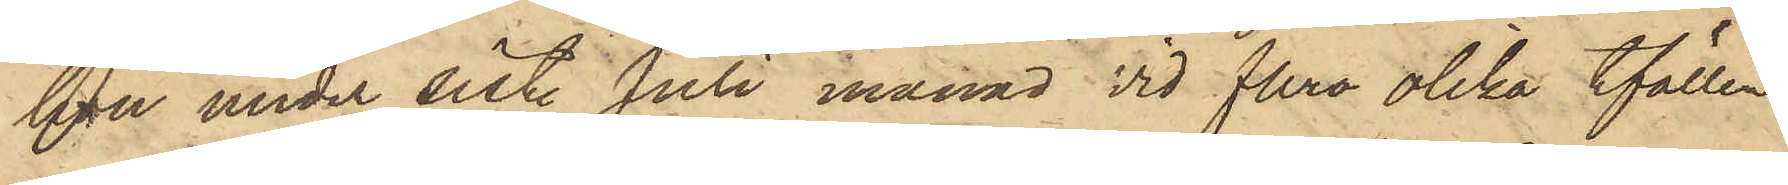hon under sist. Juli månad vid flera olika tfällen
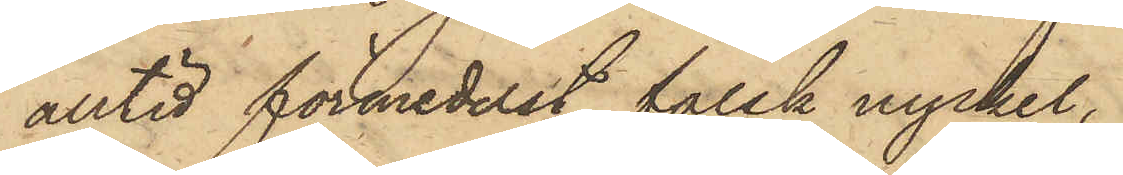alltid förmedelst falsk nyckel,
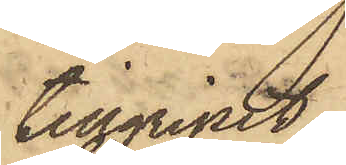tillgripit
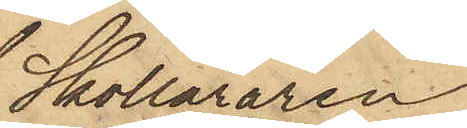Skolläraren
